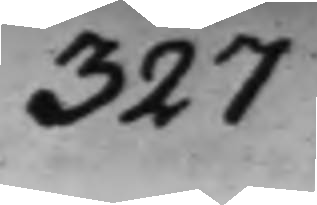327.
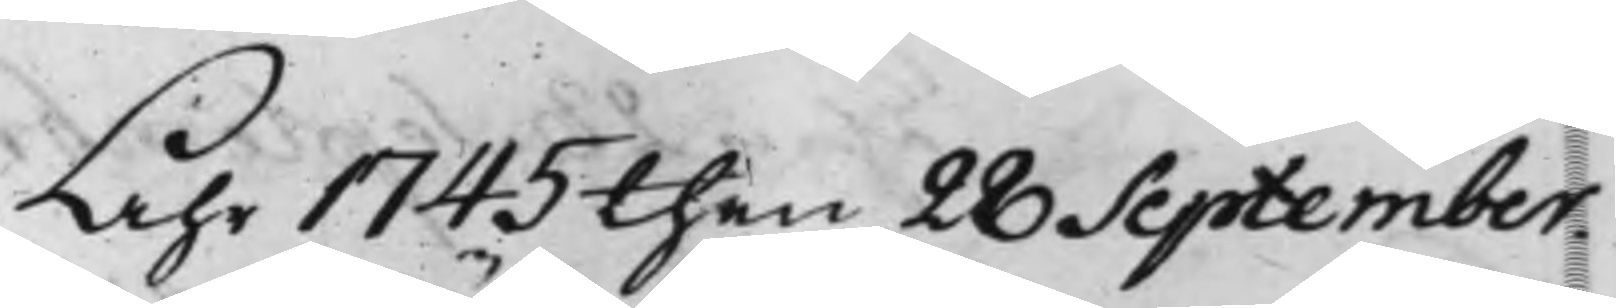Åhr 1745 then 28 September.
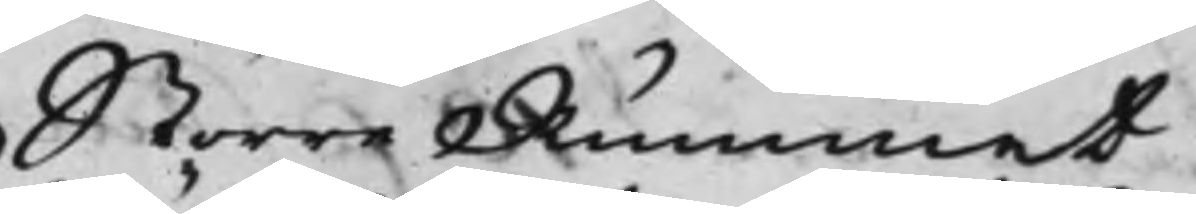Större Rummet
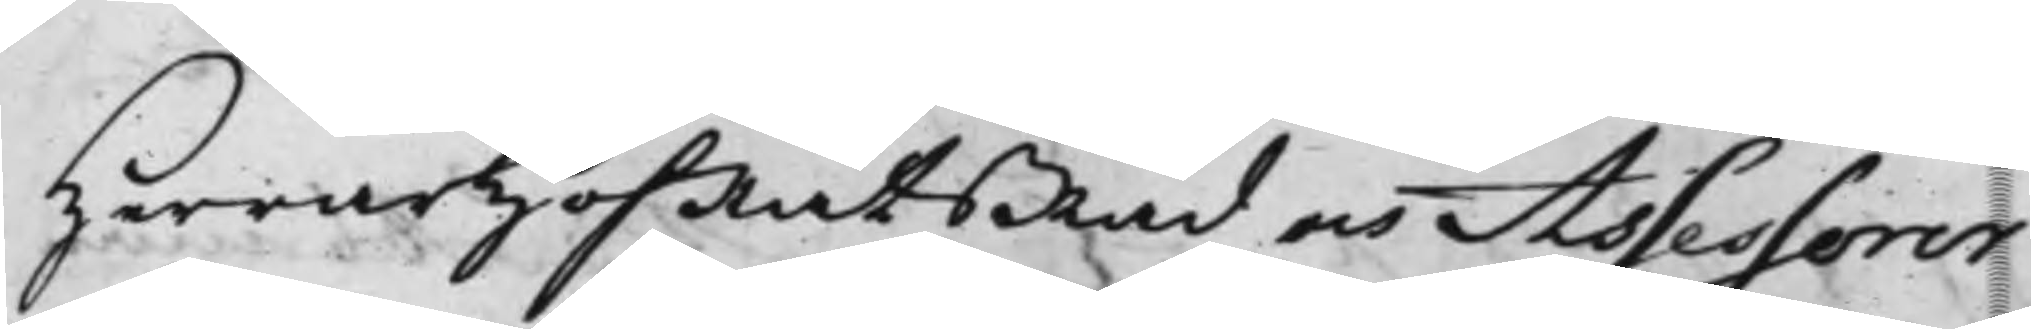HerrarHofRätsRåd och Assessorer
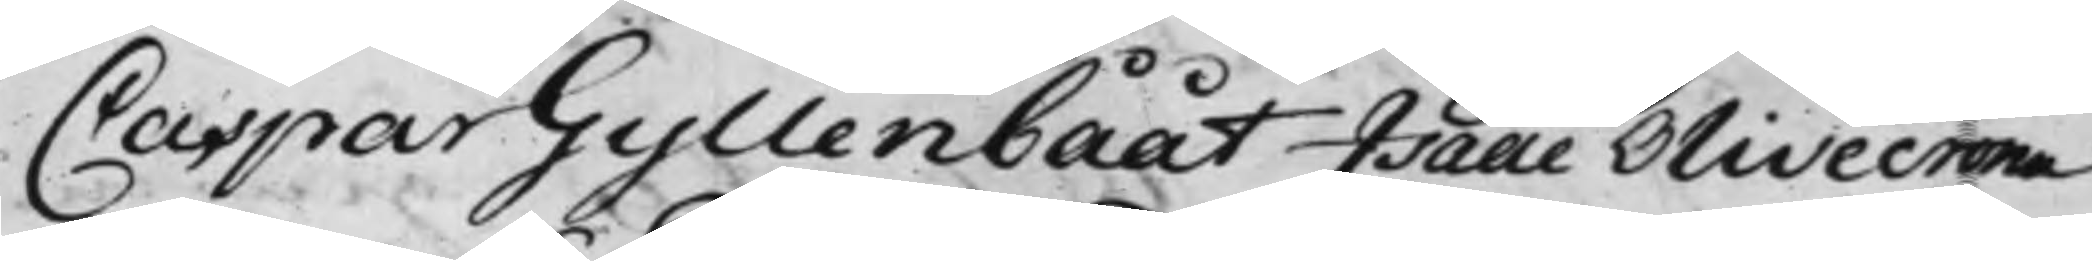Caspar Gyllenbååt Isaac Olivecrona
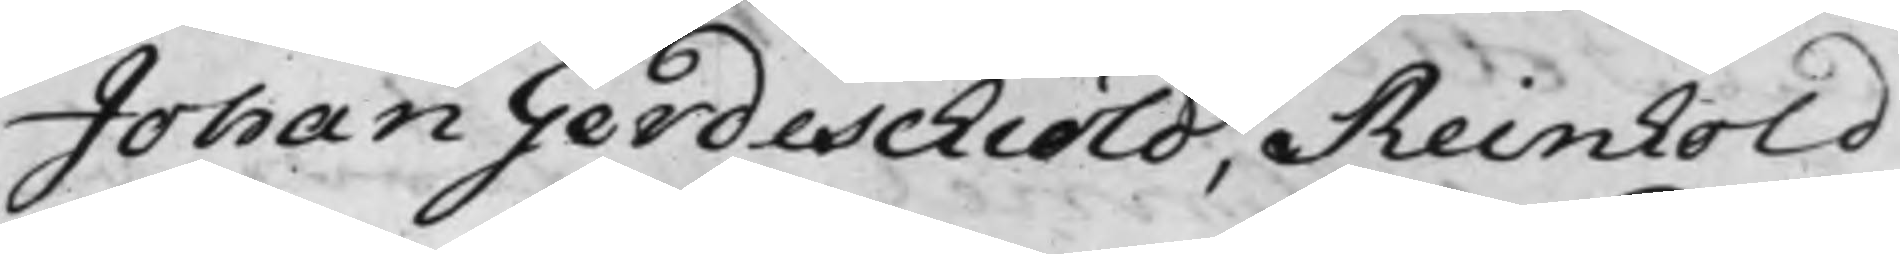Johan Gerdeschiöld, Reinhold
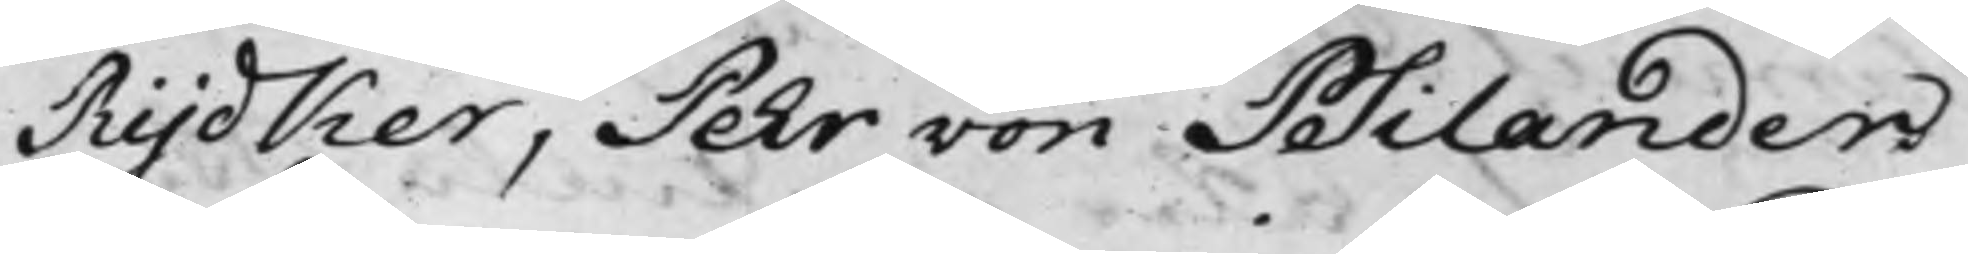Rydker, Pehr von Psilander
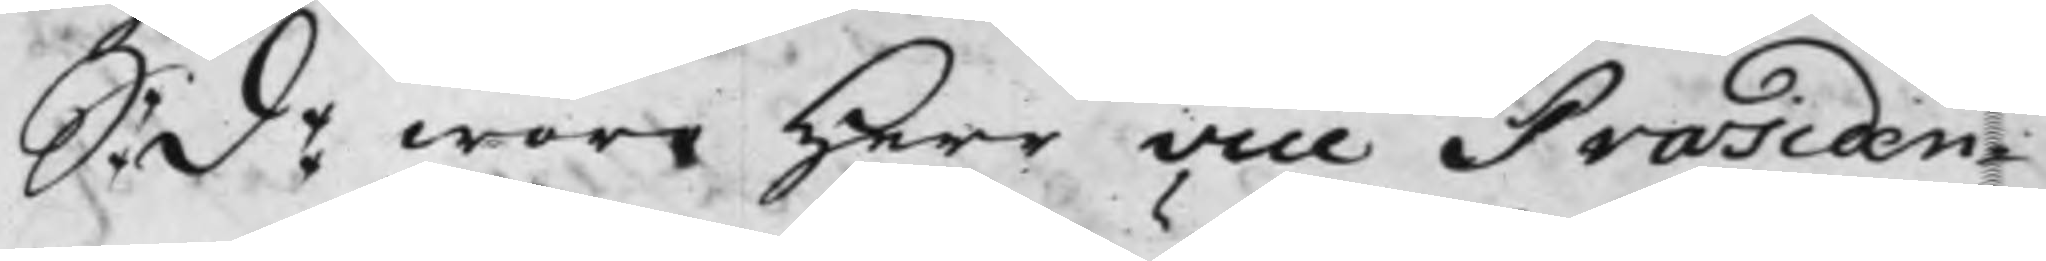S: d: woro Herr Vice Præsiden¬
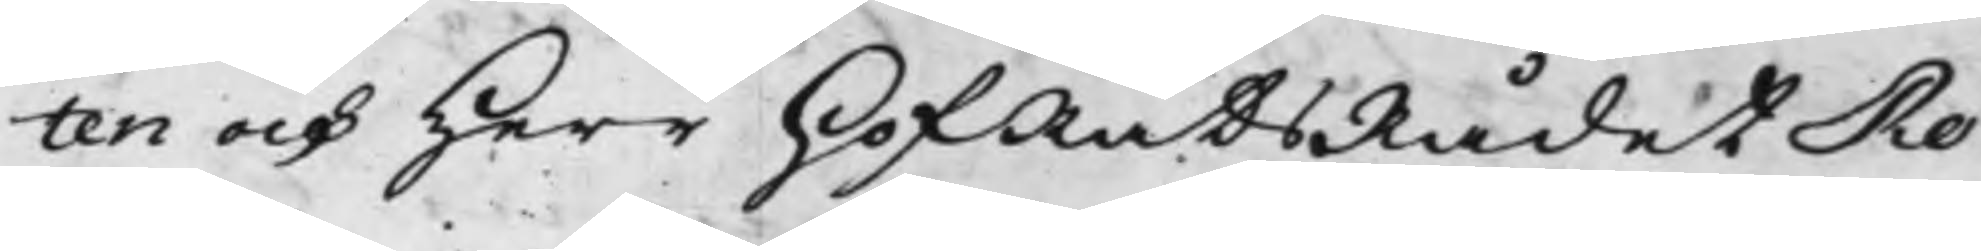ten och Herr HofRättsRådet Ro¬
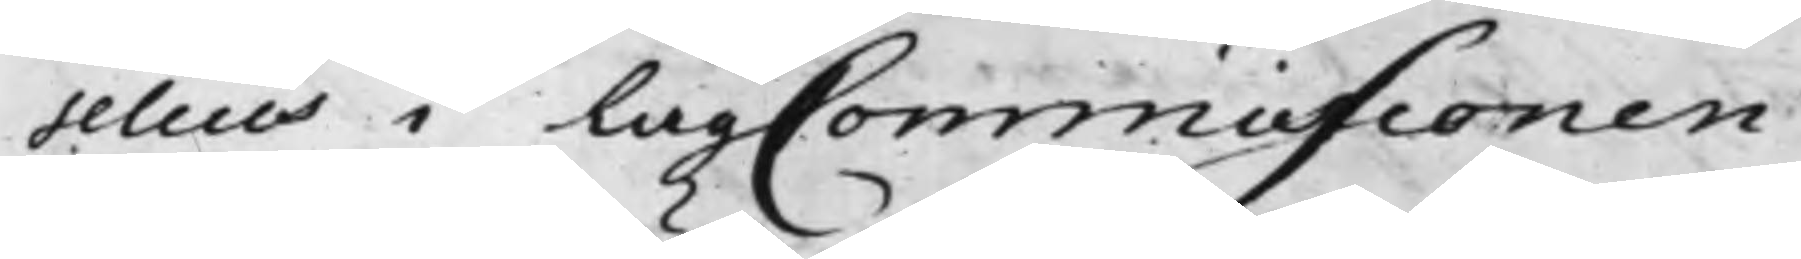selius i LagCommisionen.
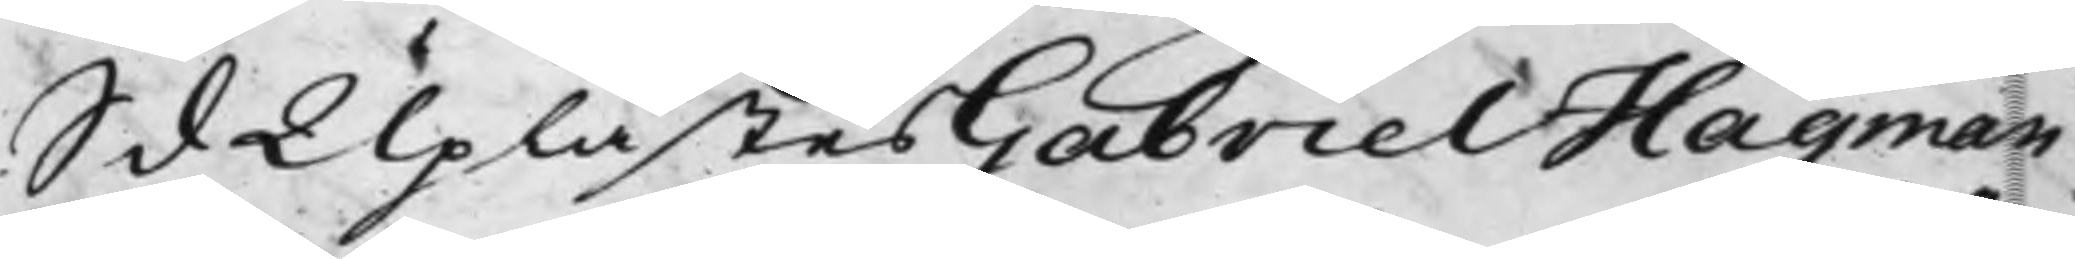S d Uplästes Gabriel Hagman
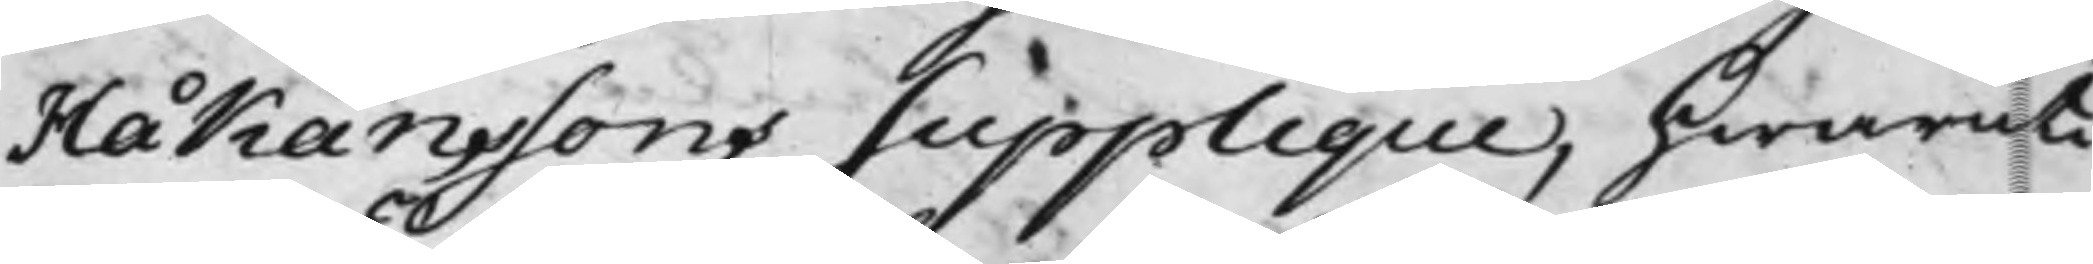Håkanssons Supplique, hwaruti
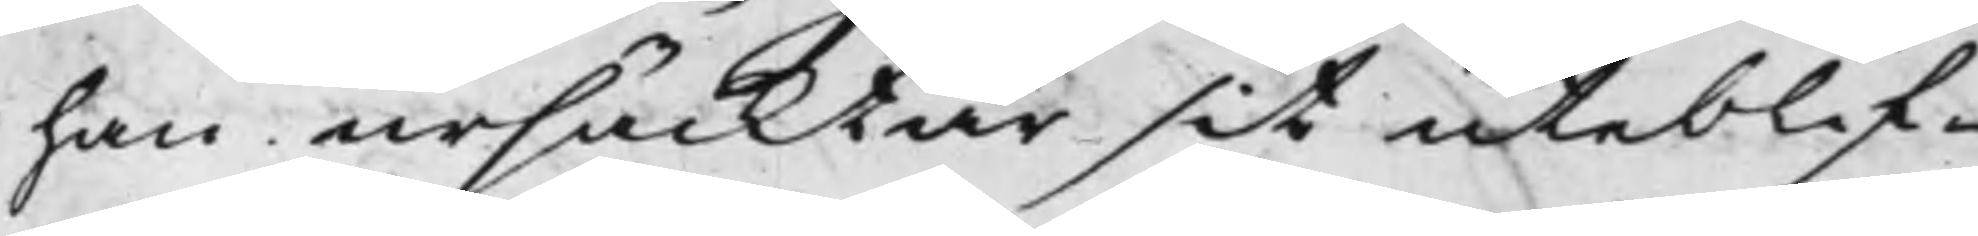han ursäcktar sit uteblif¬
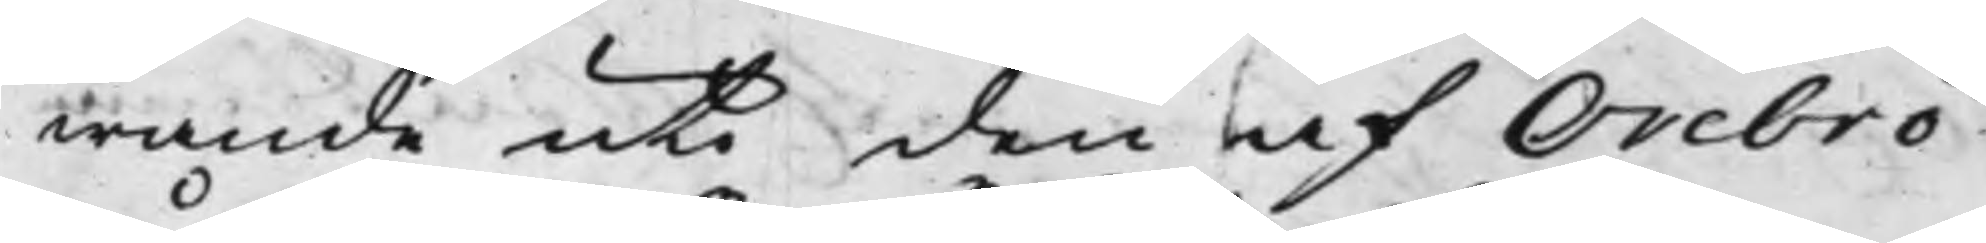wande uti den af Örebro
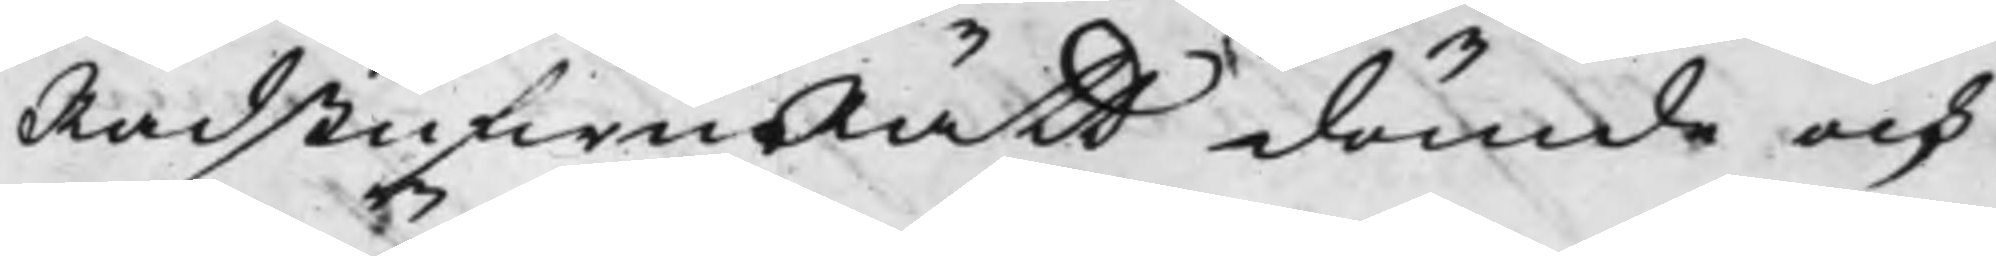RådstufwuRätt dömde och
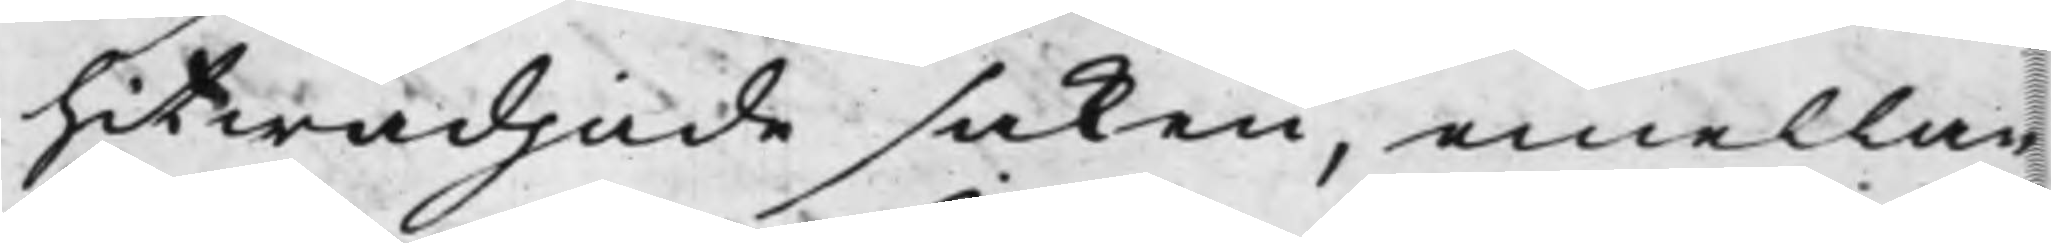hitwädjade saken, emellan
